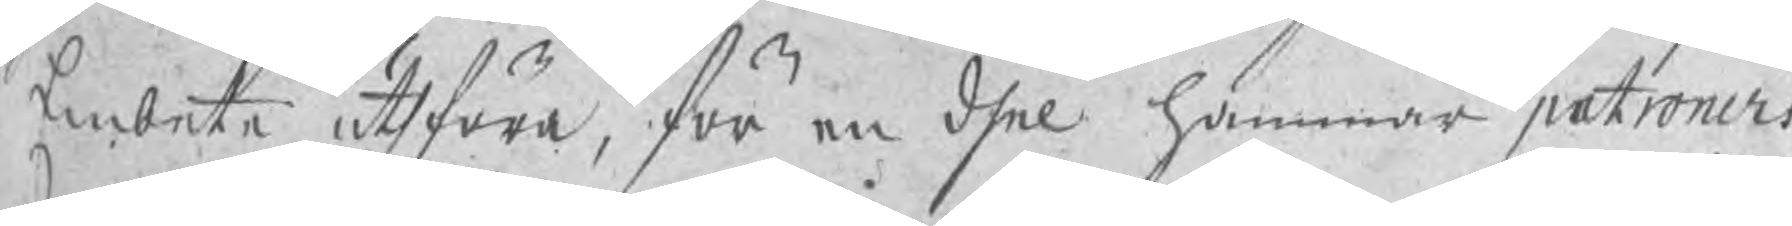Embete uthföra, för en dhel hammar patroners
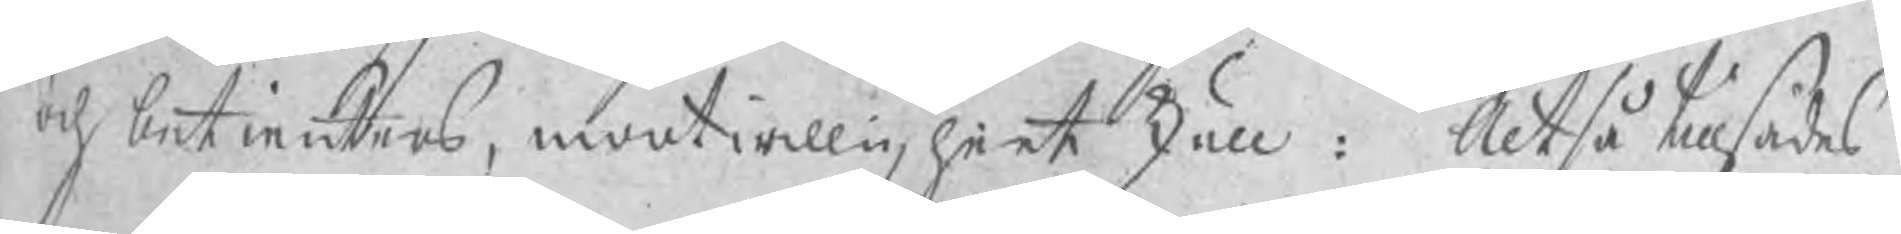och betienters, mootwilligheet skull: Altså tillsades
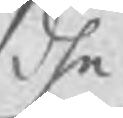dhe
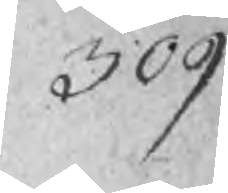309
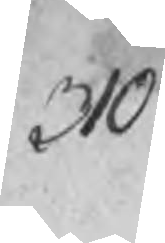310
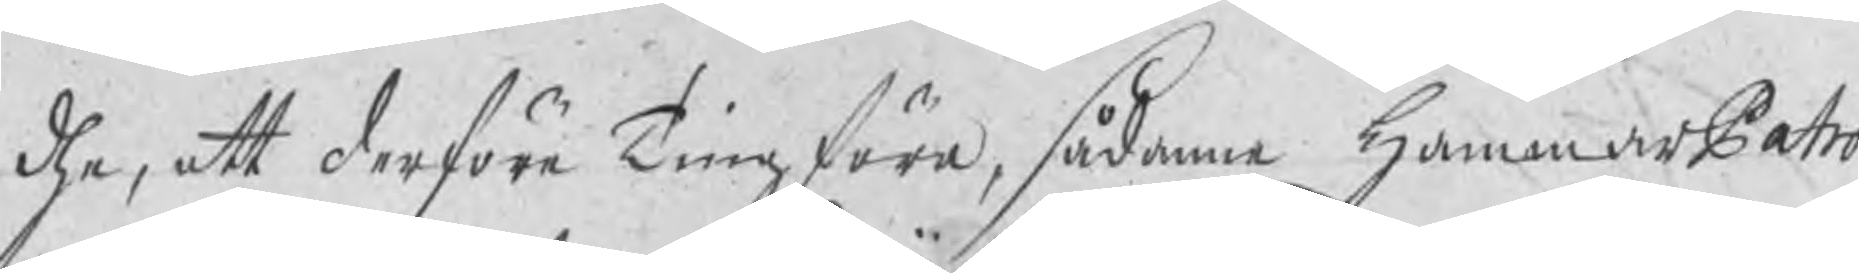dhe, att derföre Tingföra, sådane HammarPatro¬
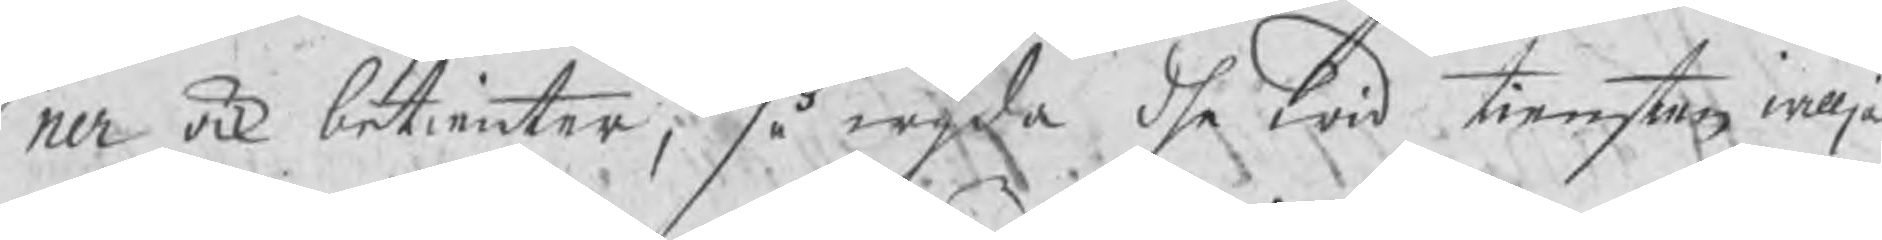ner ock betienter, så wijda dhe wid tiensten willja
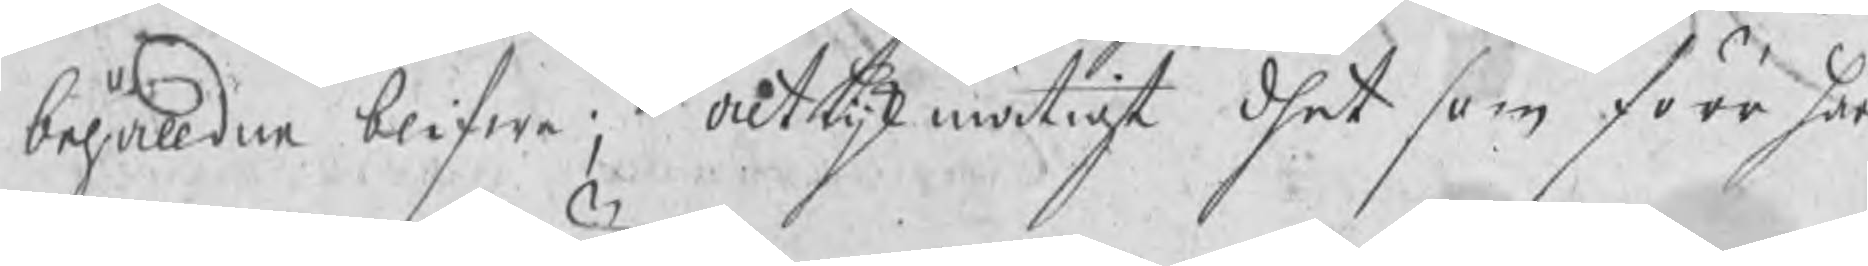behålldne blifwe; alt lijkmätigt dhet som förr här¬
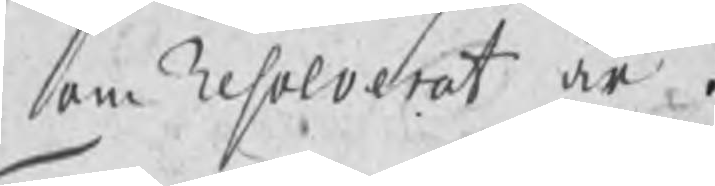om Resolverat är.
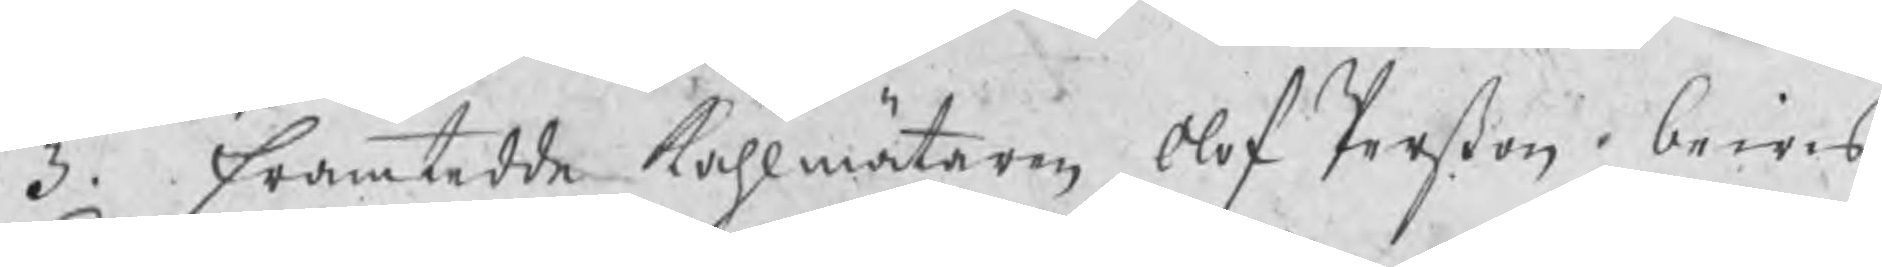3. Framtedde kåhlmätaren Olof Perßon bewis
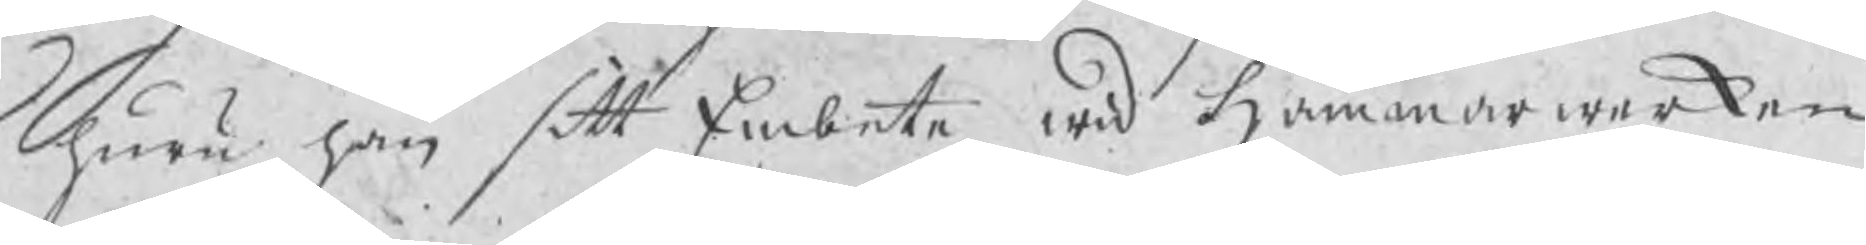huru han sitt Embetet wid Hammarwerken
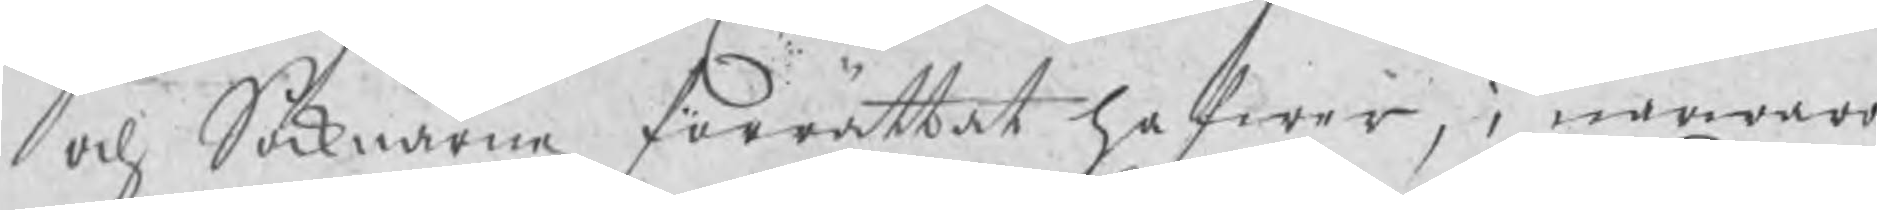och Socknarne förrättat hafwer, i närwaro
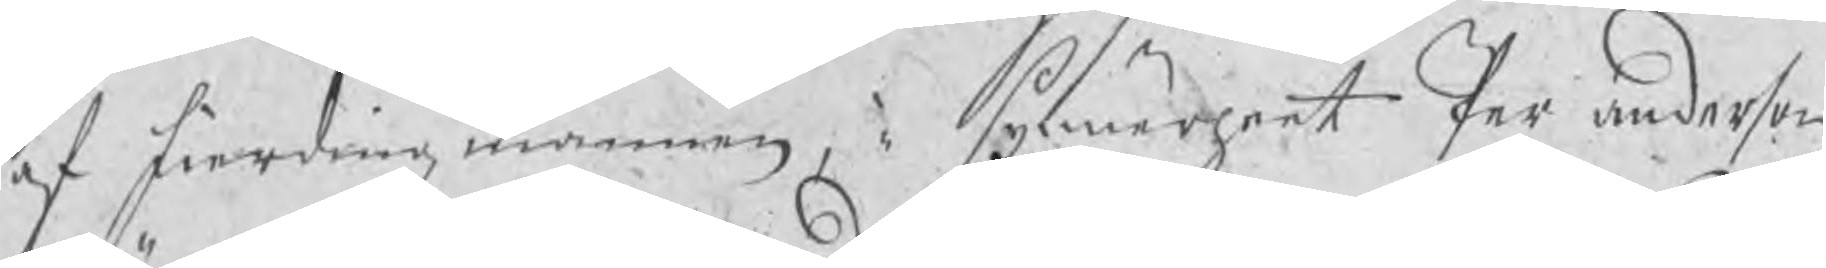af fierdingzmännen, i synnerheet Per anderson
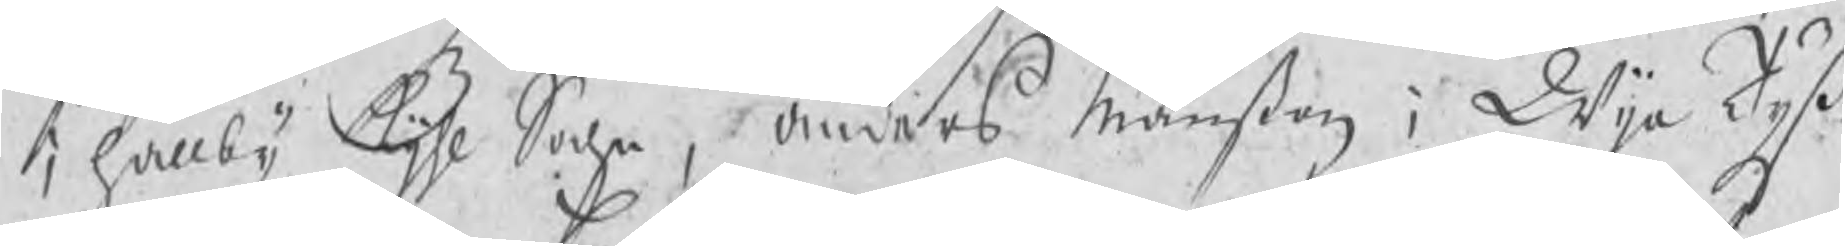i hällby Kijhl Sochn, Anders Månßon i Wija Tyß¬
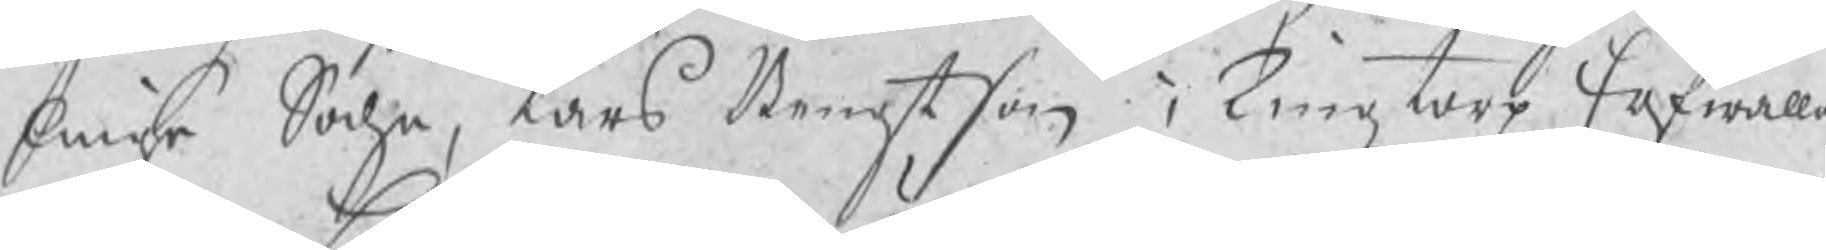linge Sochn, Lars Bengtson i Tingztorp Erfwalla
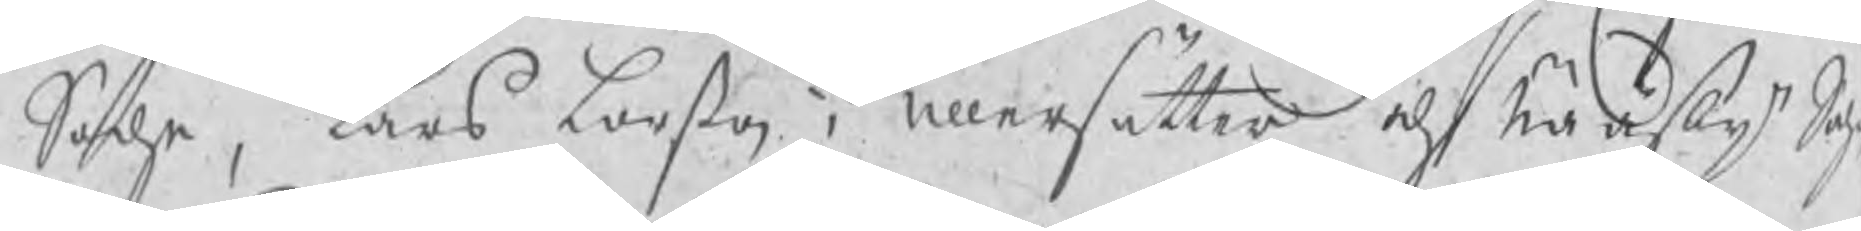Sochn, Lars Larßon i Ullersätter och Nääsby Soch
